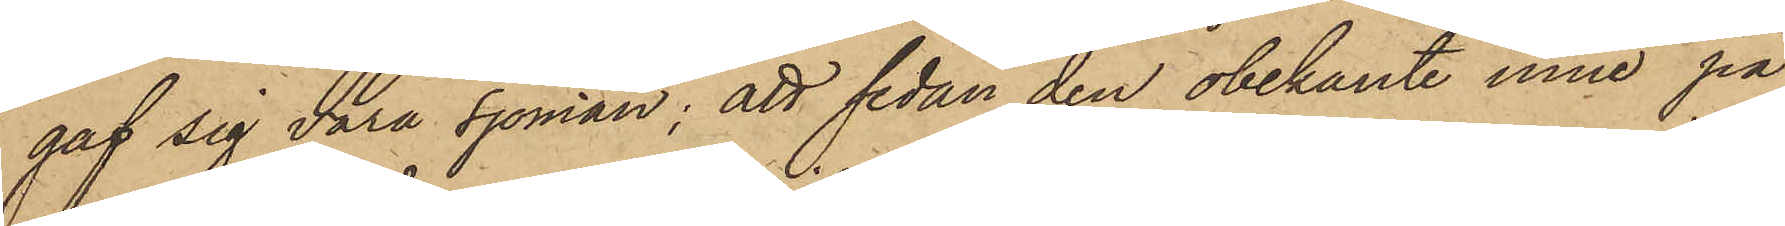gaf sig vara sjöman; att sedan den obekante inne på
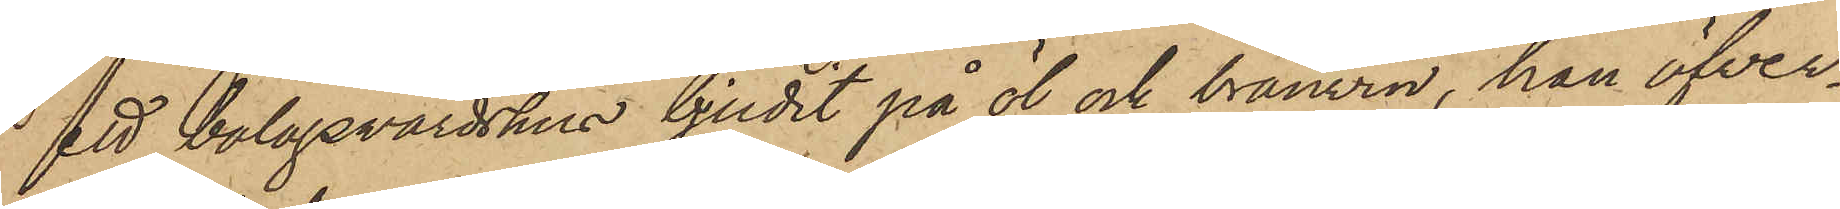ett bolagsvärdshus bjudit på öl och bränvin, han öfver¬
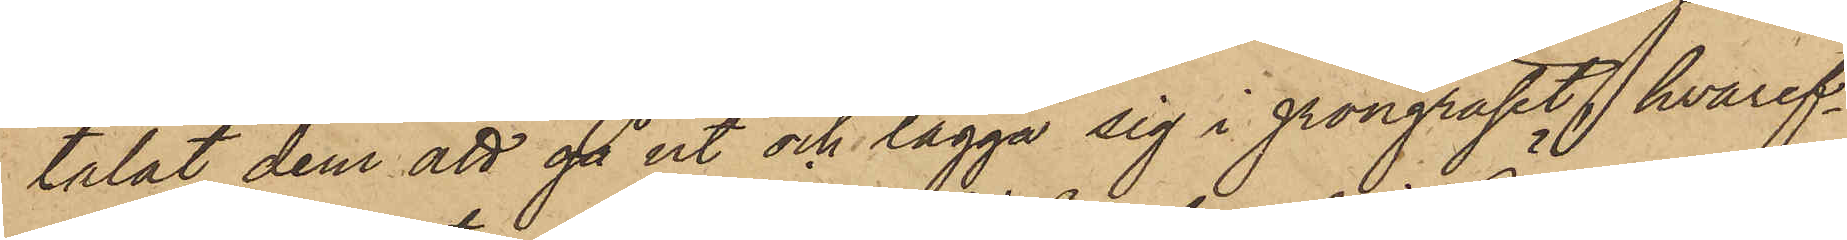talat dem att då ut och lägga sig i gröngräset, hvaref¬
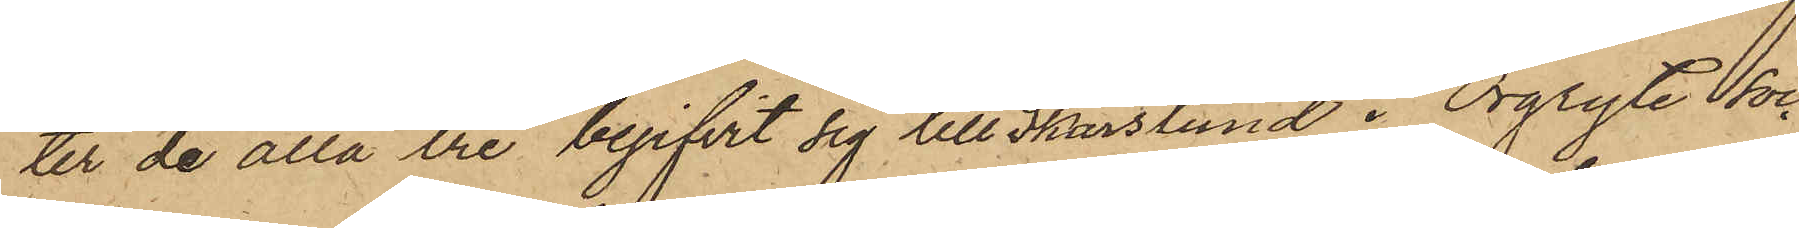ter de alla tre begifvit sig till Skarslund i Örgryte soc¬
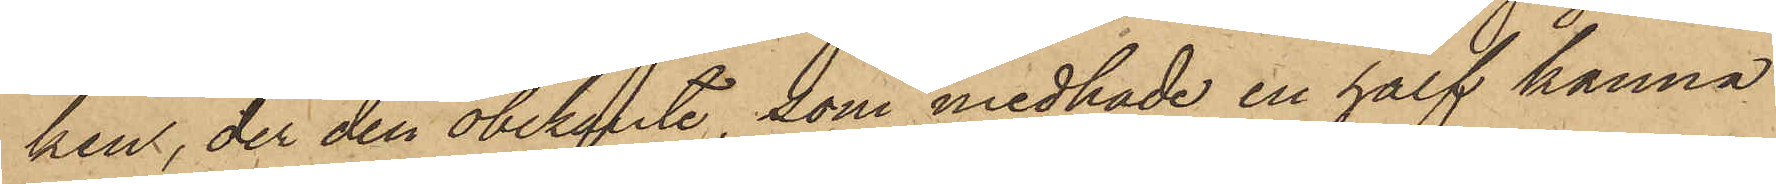ken, der den obekante, som medhade en half kanna
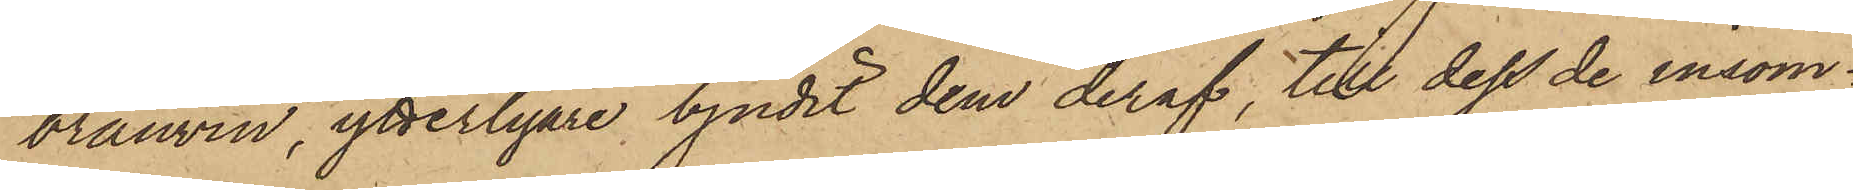bränvin, ytterligare bjudit dem deraf, till dess de insom¬
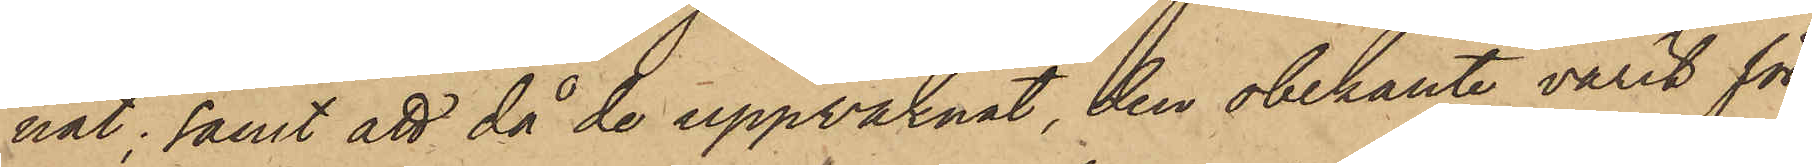nat; samt att då de uppvaknat, den obekante varit för¬
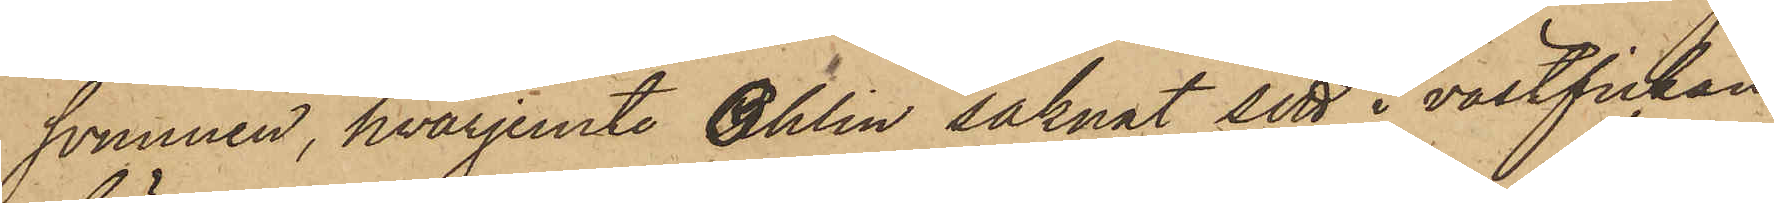svunnen, hvarjemte Ohlin saknat sitt i västfickan
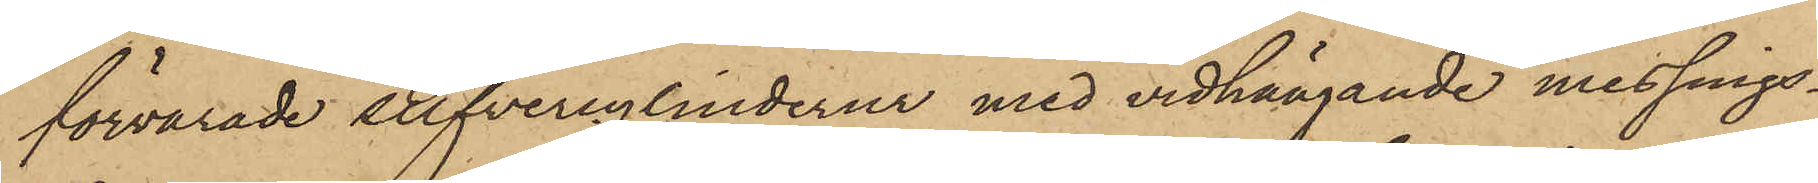förvarade silfvercylinderur med vidhängande messings¬
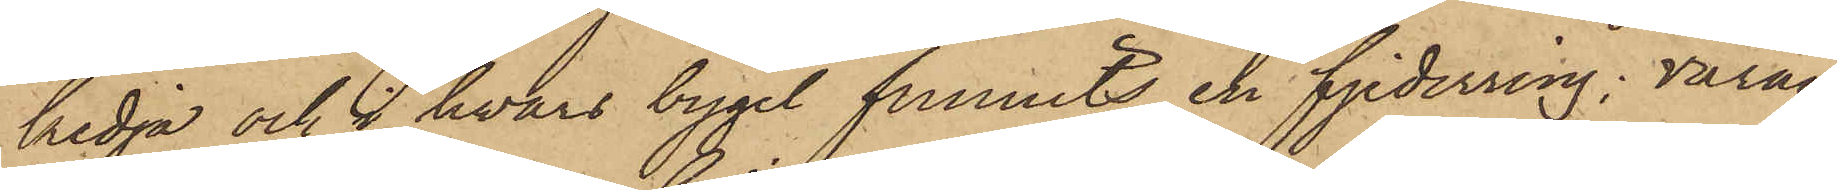kedja och i hvars bygel funnits en fjederring; varan¬
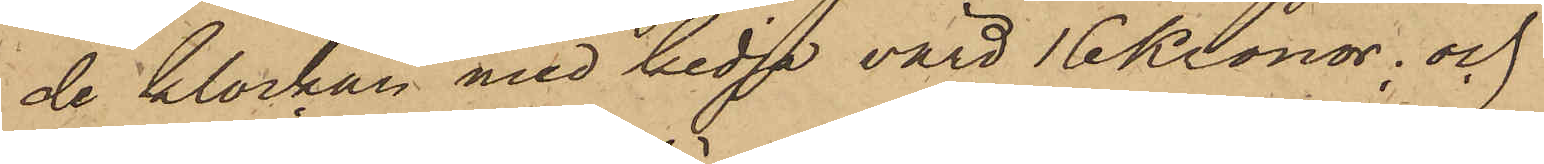de klockan med kedja värd 16 Kronor; och
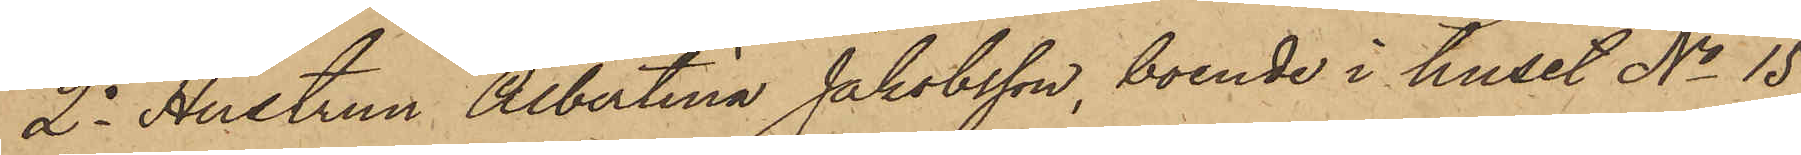2o Hustrun Albertina Jakobsson, boende i huset No 15
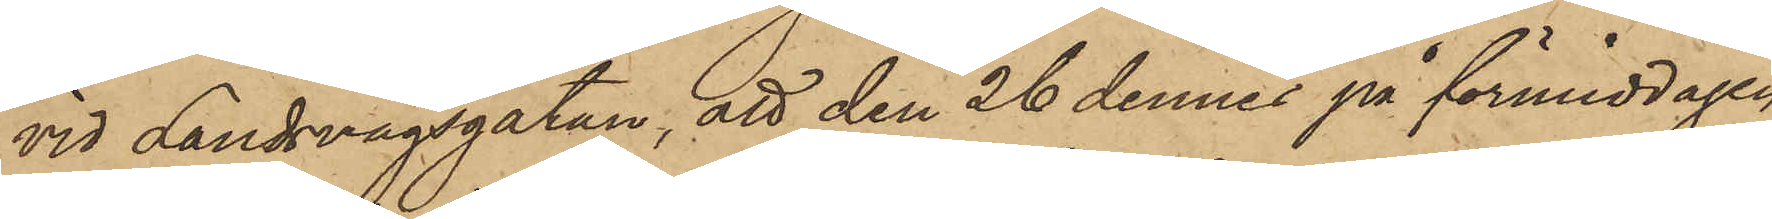vid Landsvägsgatan, att den 26 dennes på förmiddagen
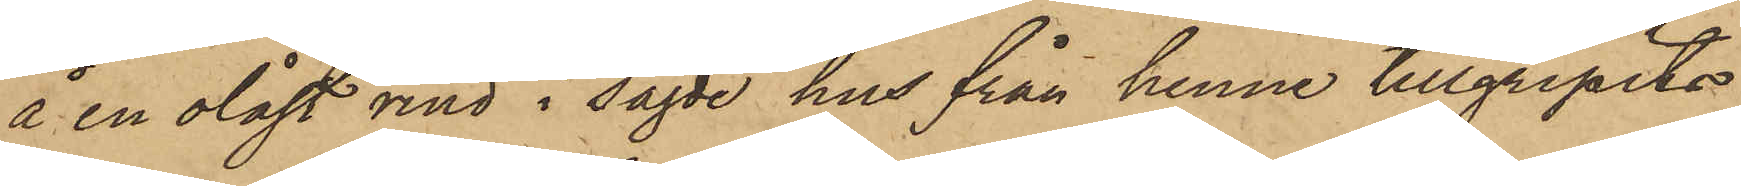å en olåst vind i sagde hus från henne tillgripits
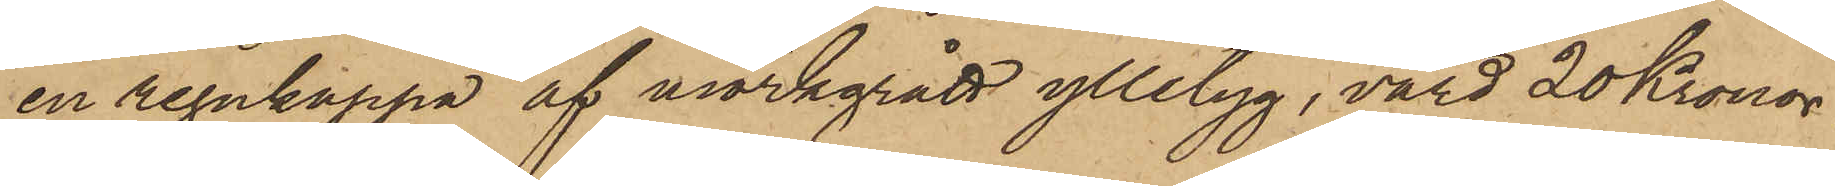en regnkappa af mörkgrått ylletyg, värd 20 Kronor.
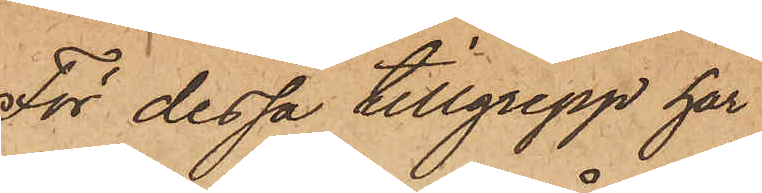För dessa tillgrepp har
